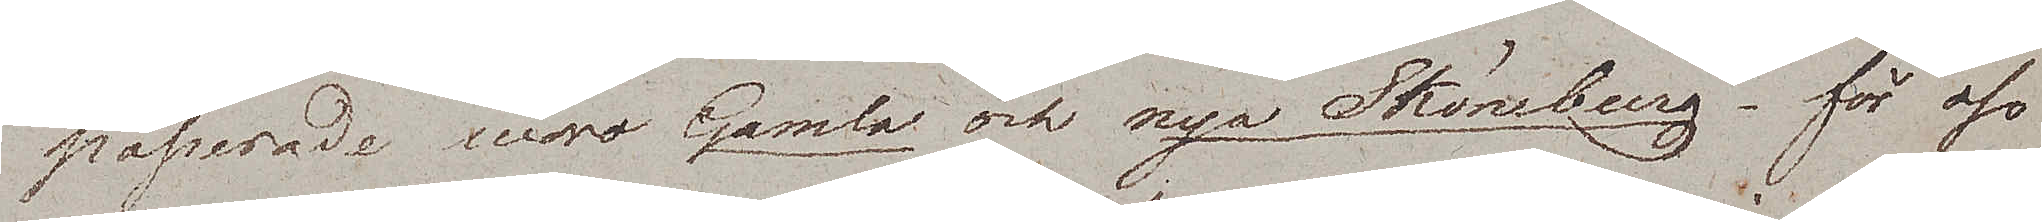passerade woro Gamla och nya Sköneberg, – för oss
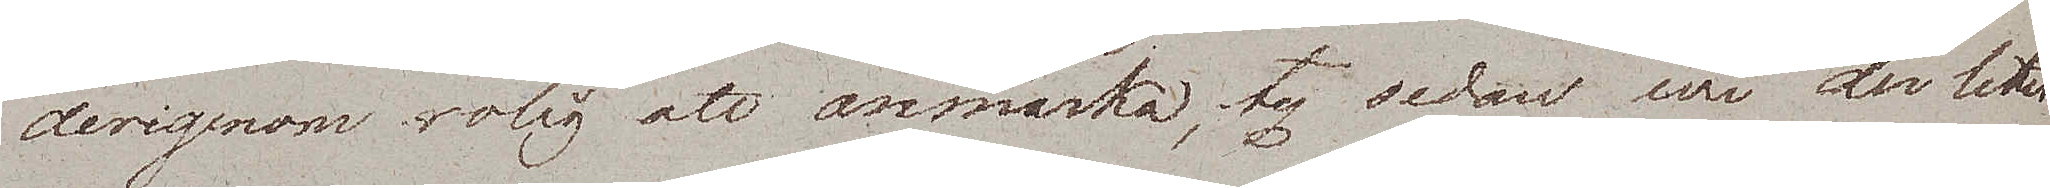derigenom rolig att anmärka, ty sedan wi der litet
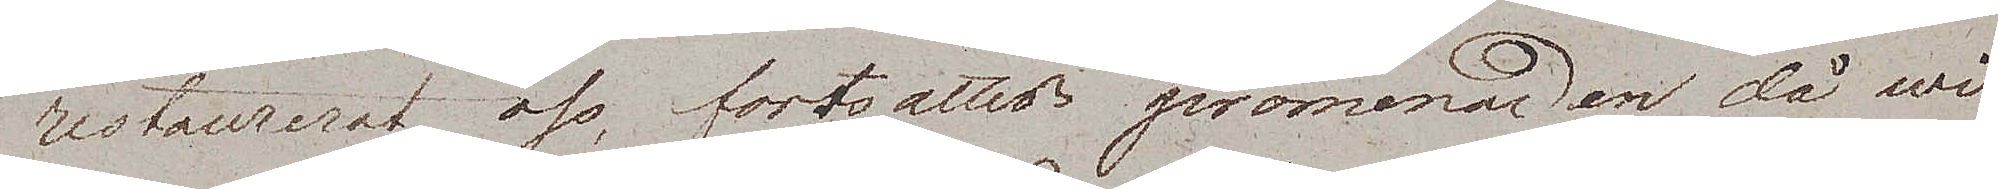restaurerat oss, fortsattes promenaden, då wi
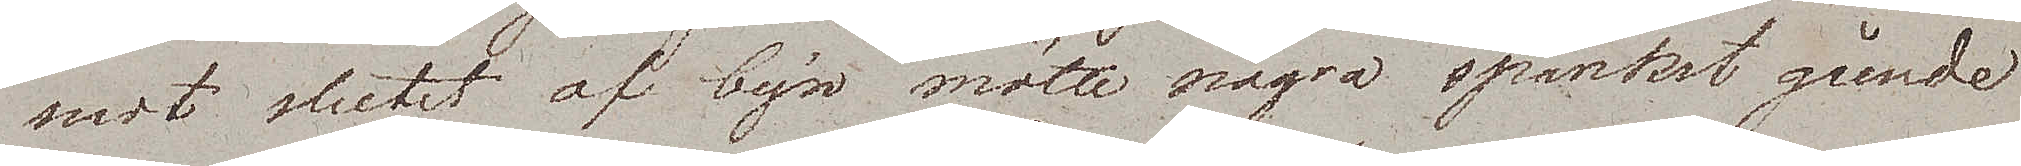mot slutet af byn mötte några spanket gående
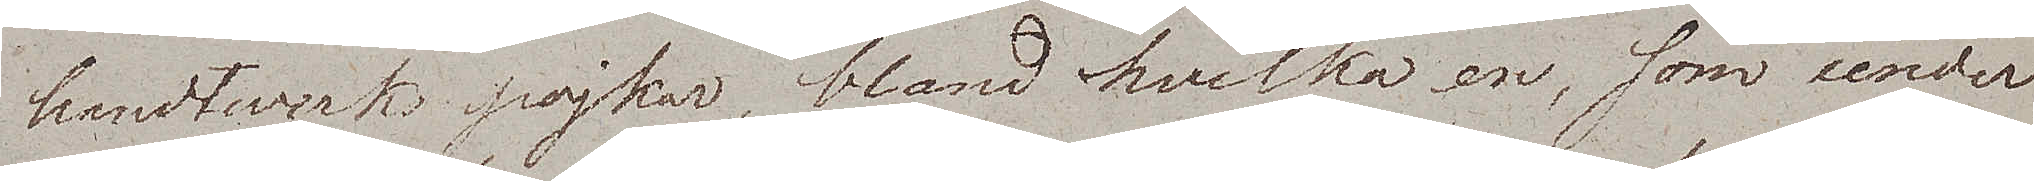handtwerkspojkar, bland hvilka en, som under
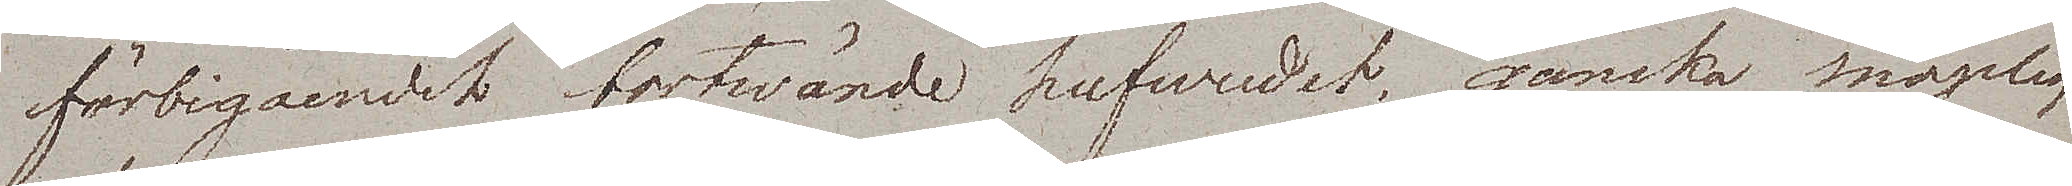förbigåendet bortwände hufvudet, ganska snöpligt
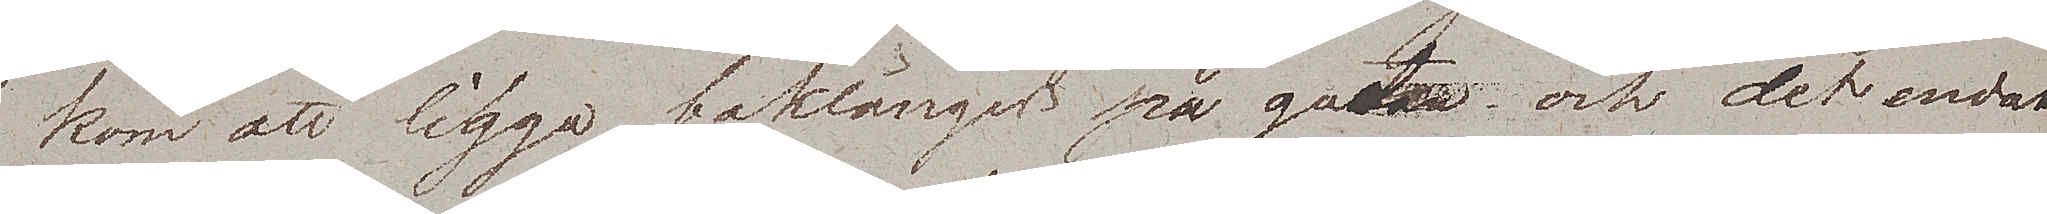kom att ligga baklänges på gatan och det endast
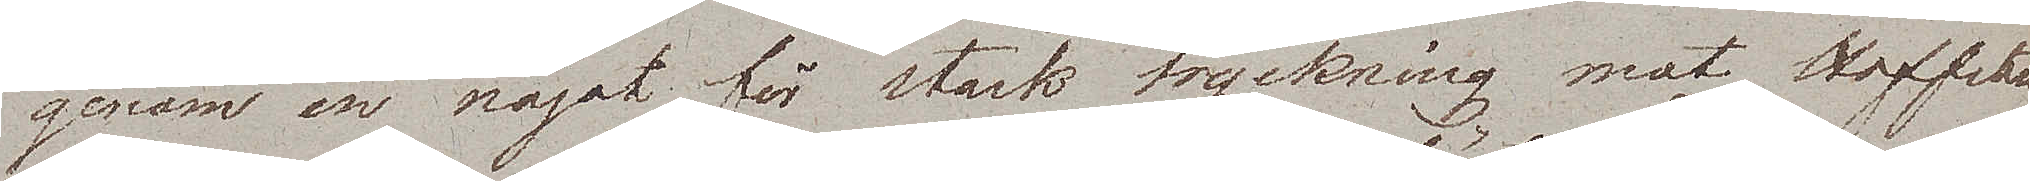genom en något för stark tryckning mot Hoffstens
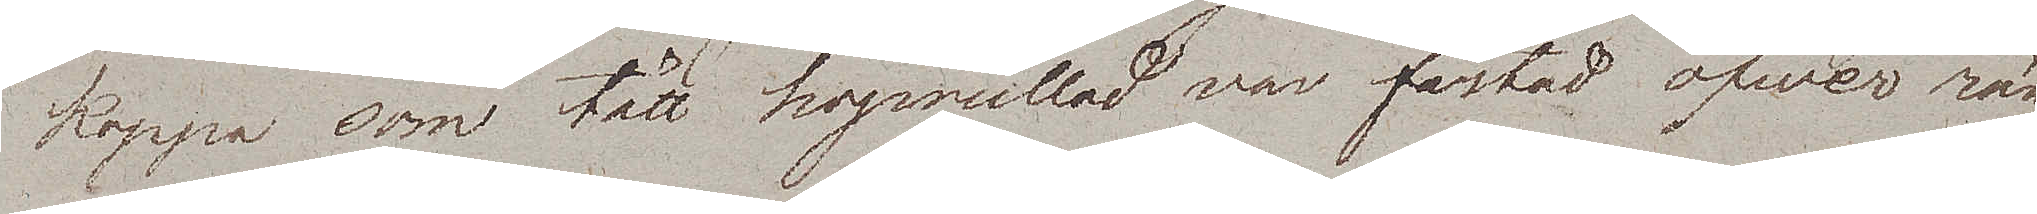kappa som tätt hoprullad var fästad öfwer rän¬
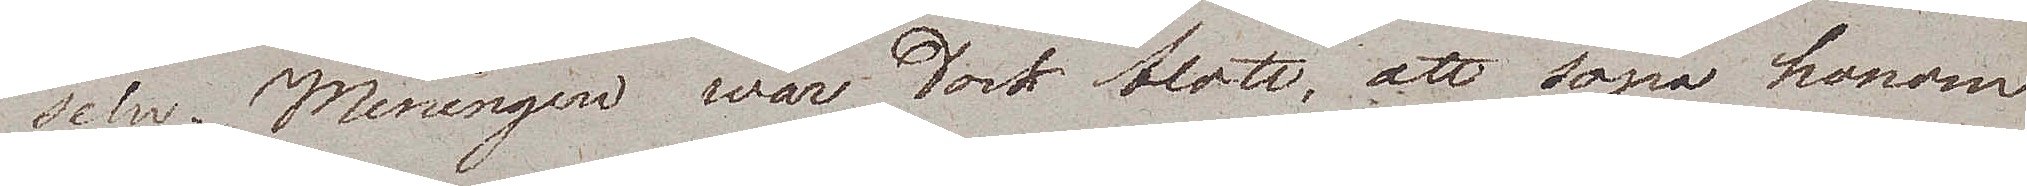seln. Meningen war dock blott, att sopa honom
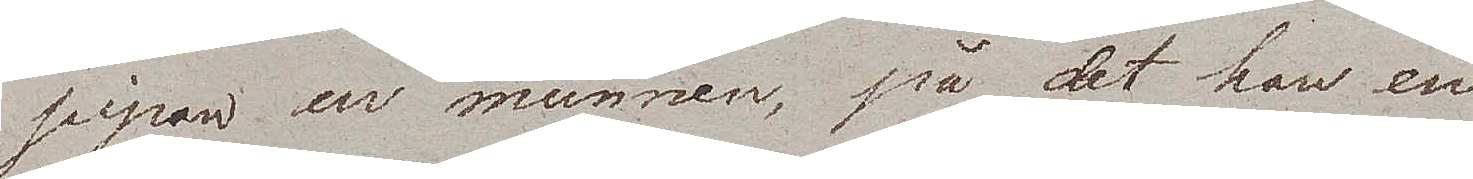pipan ur munnen, på det han en
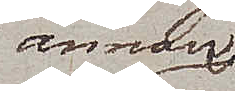annan
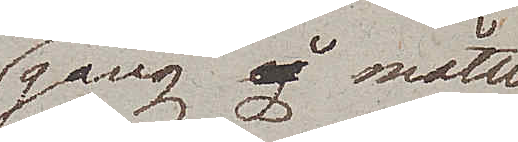gång måtte
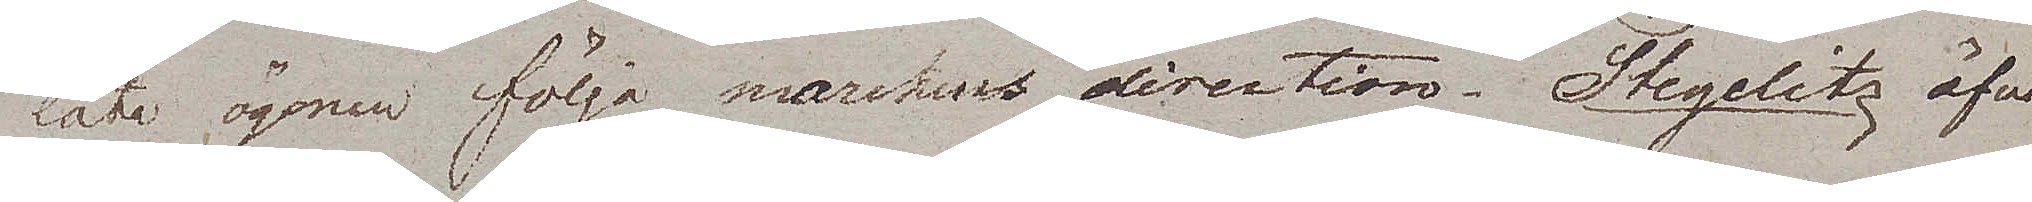låta ögonen följa markens direction. Stegelitz är
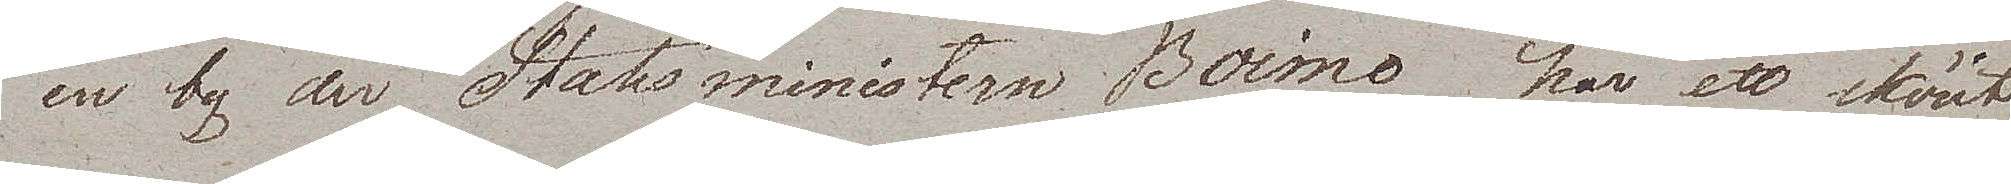en by der Statsministern Boime har ett skönt
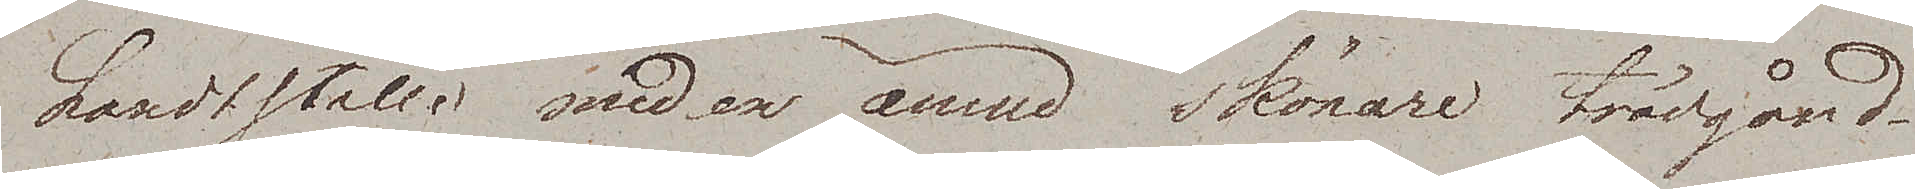Landtställe med en ännu skönare trädgård.
